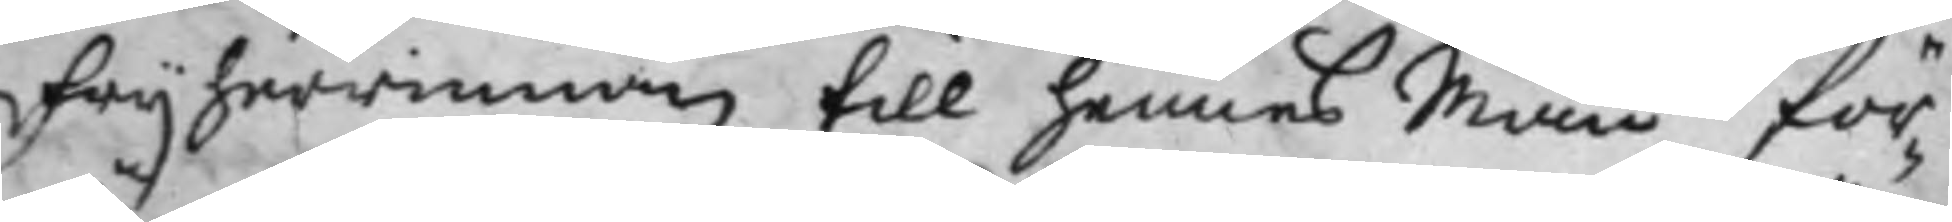frijherrinnan till hennes Man för¬
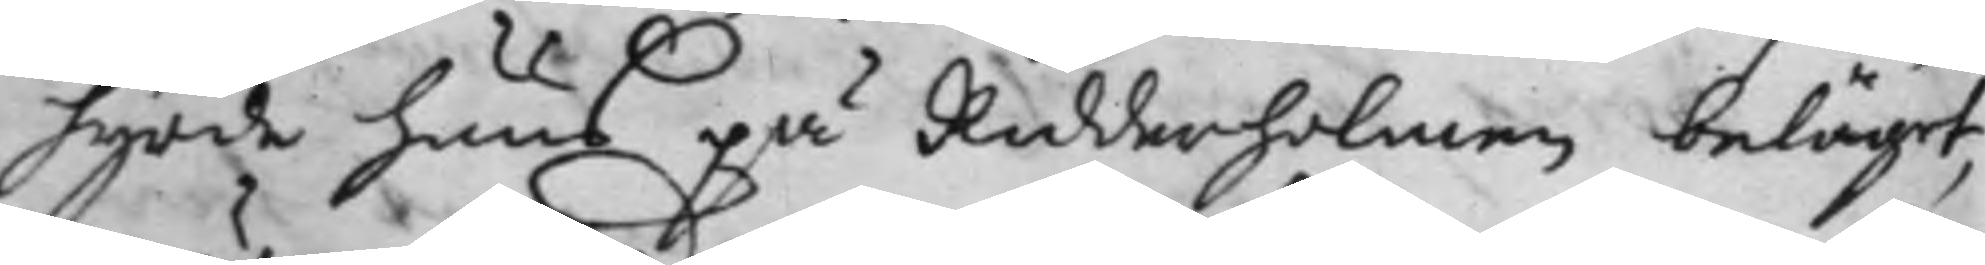hyrde huus på Ridderholmen beläget,
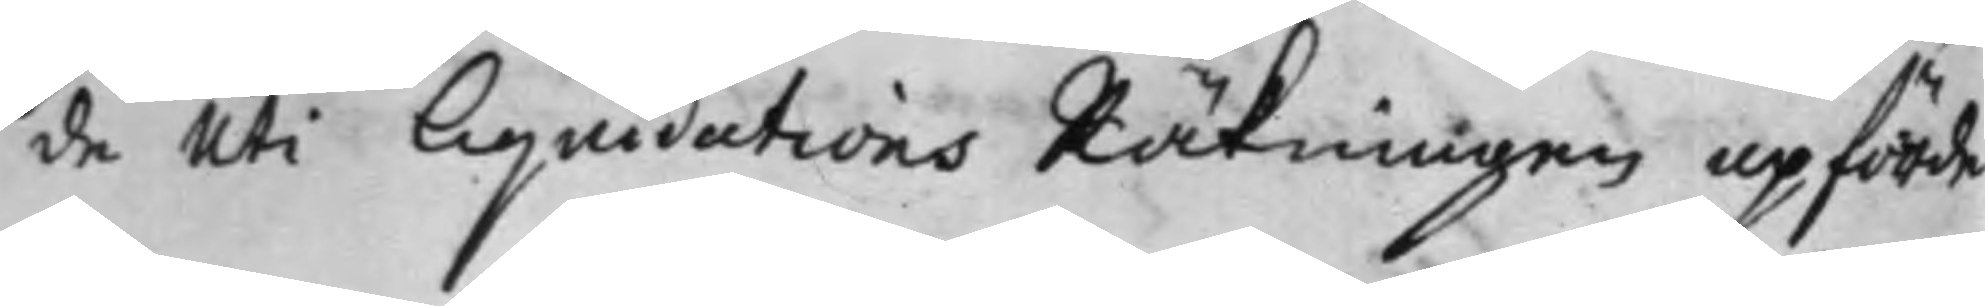de uti liquidations Räkningen upförde
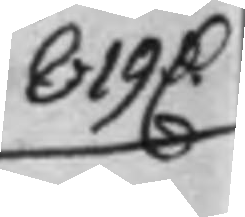819 D.
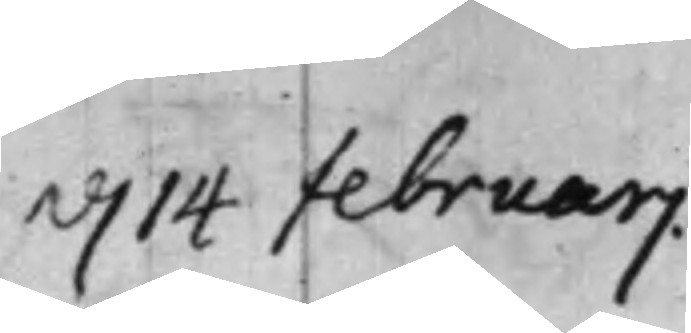d. 14 februarj.
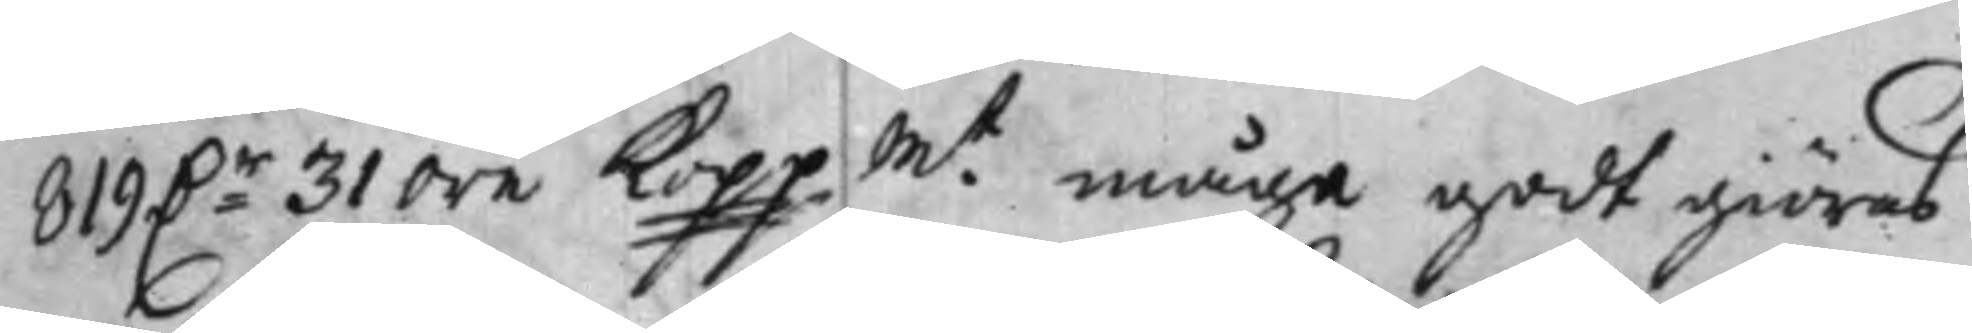819 D.r 31 öre Kopp. Mt måge godt giöres
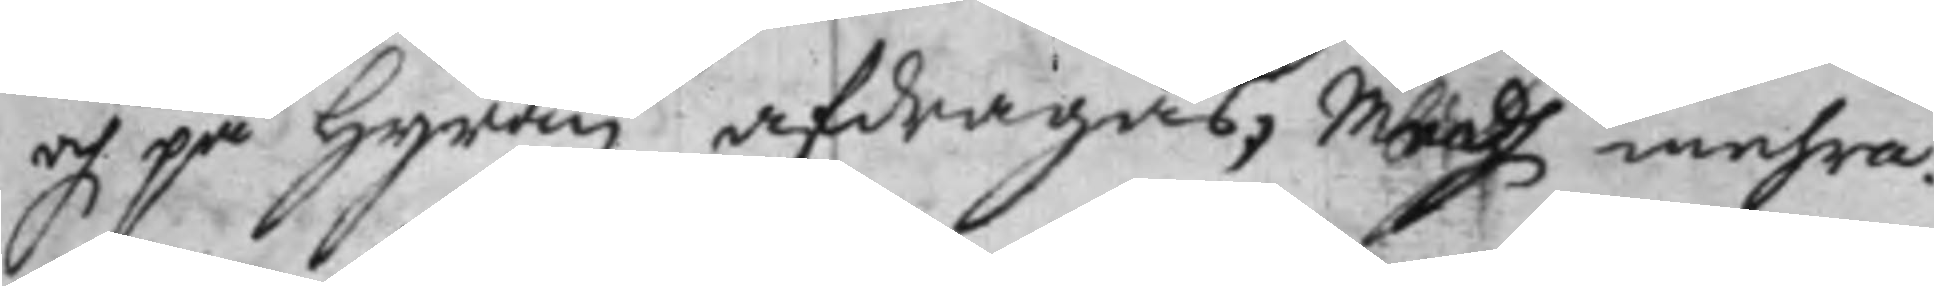och på hyran afdragas, Medh mehra.
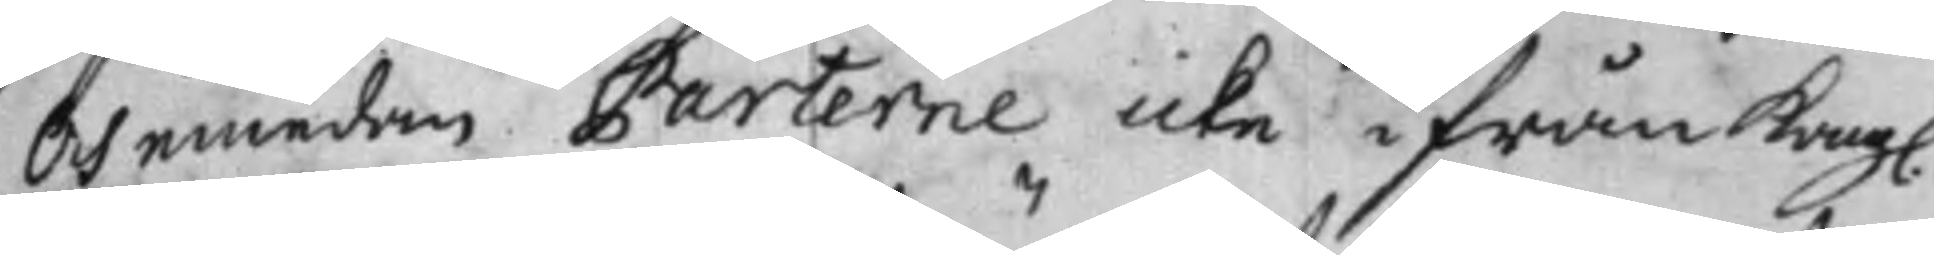Och emedan Parterne icke ifrån Kongl.
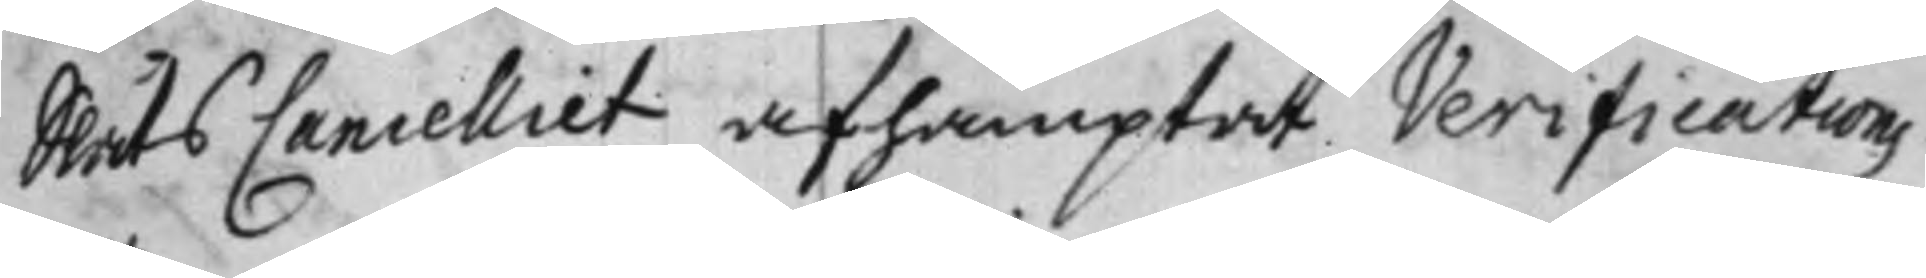Slåts Cancelliet afhämptat Verifications
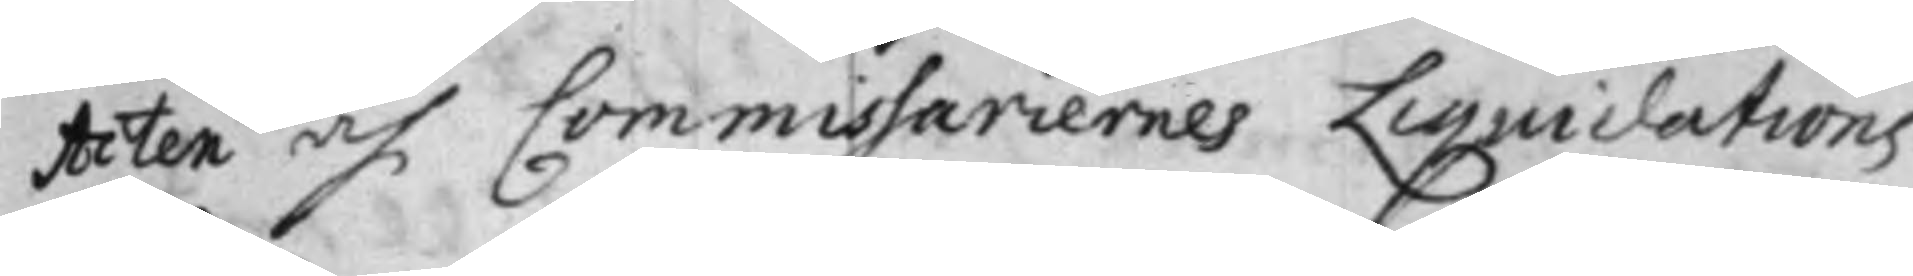Acten af Commissariernes Liquidations
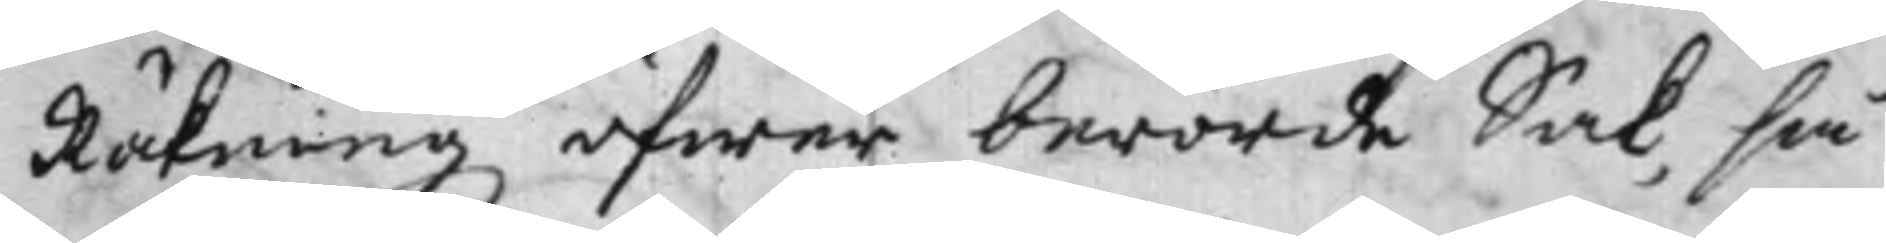Räkning öfwer berörde Sak, så
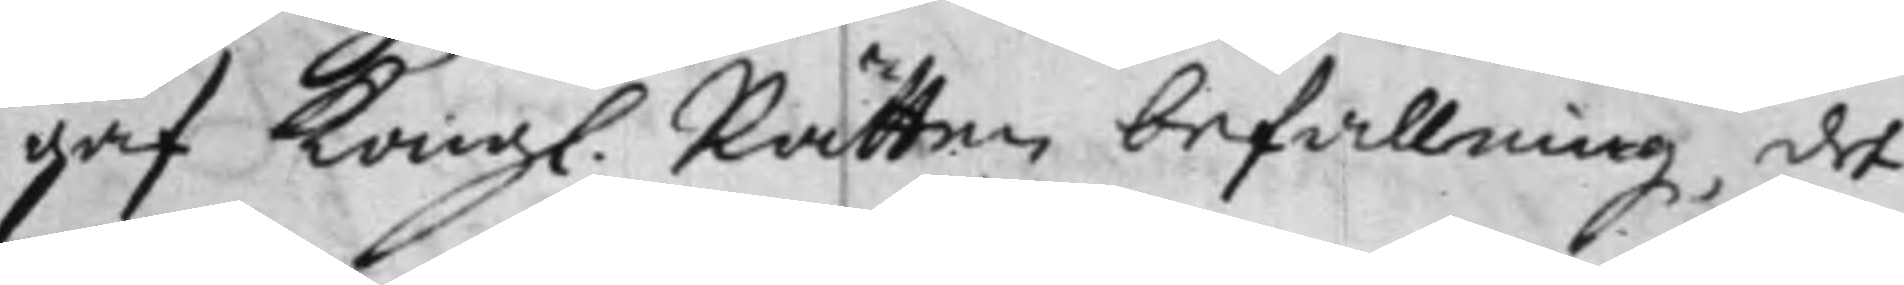gaf Kongl. Rätten befallning, det
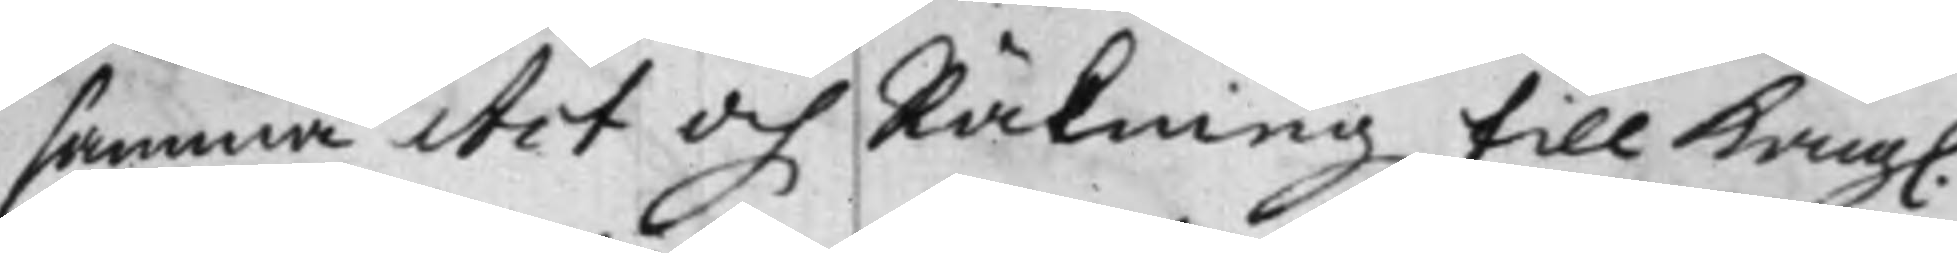samma Act och Räkning till Kongl.
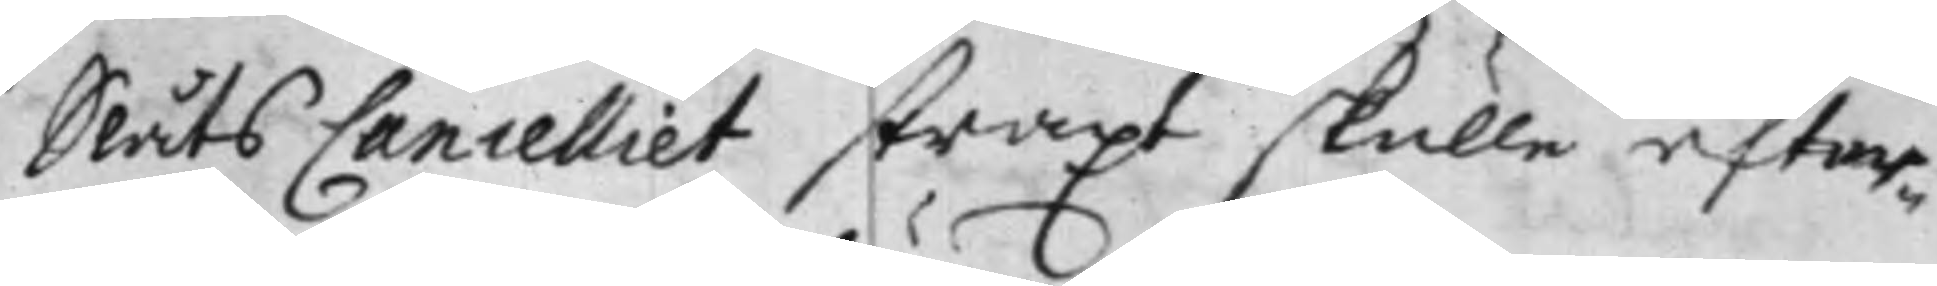Slåts Cancelliet straxt skulle efter¬
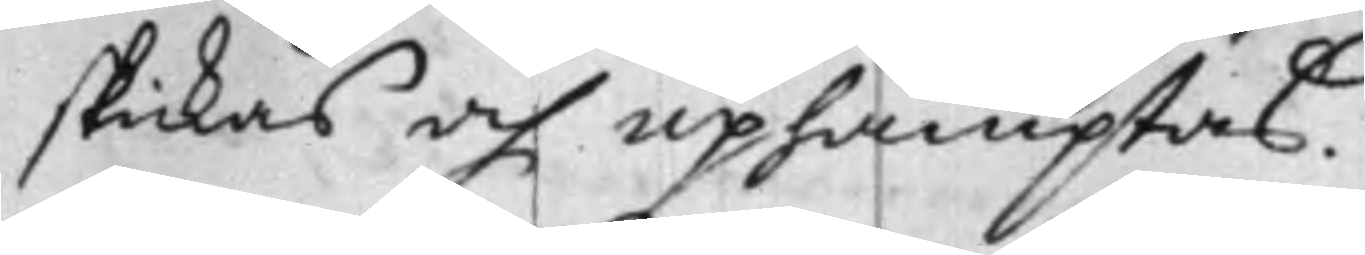skickas och uphämptas.
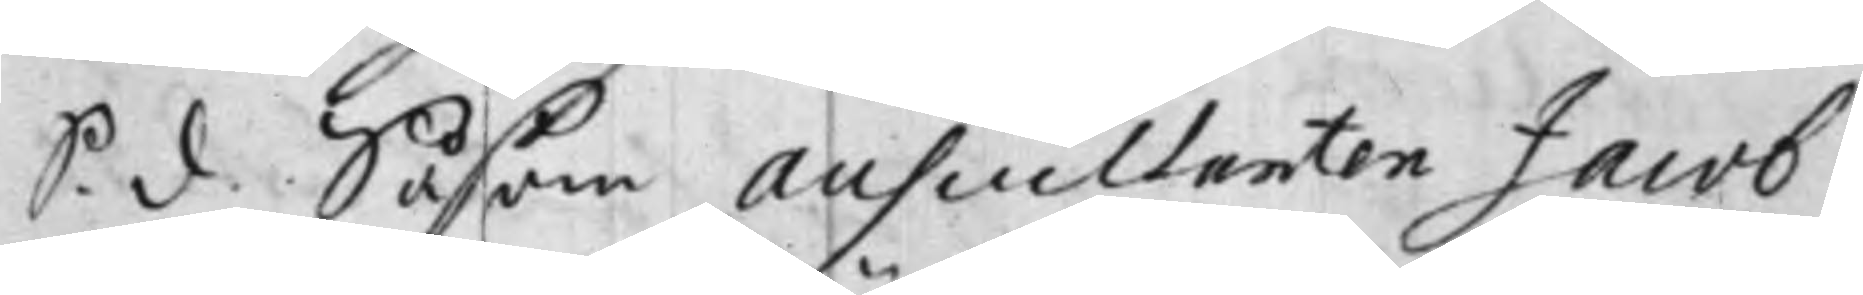S. d. Såsom auscultanten Jacob
